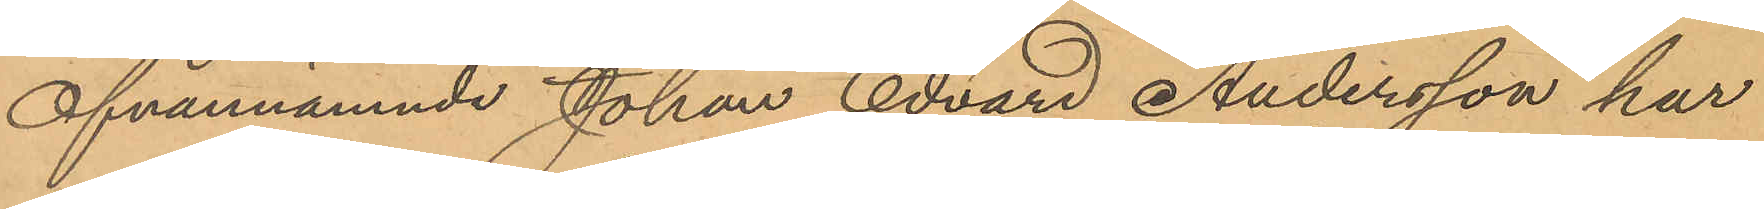Ofvannämnde Johan Edvard Andersson har
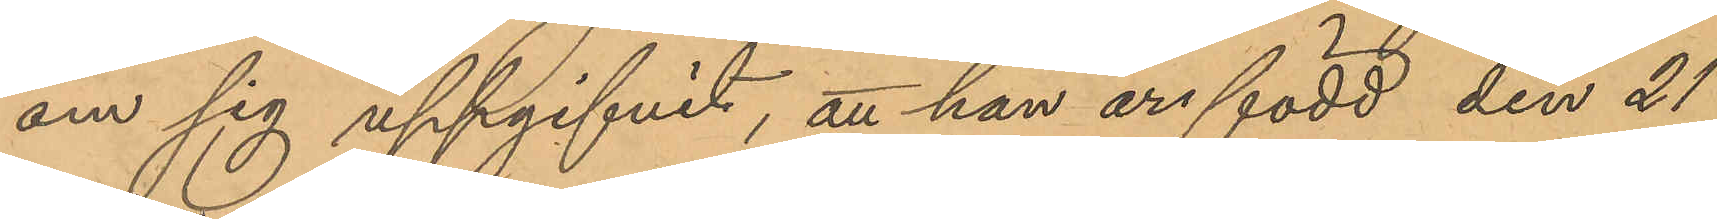om sig uppgifvit, att han är född den 21
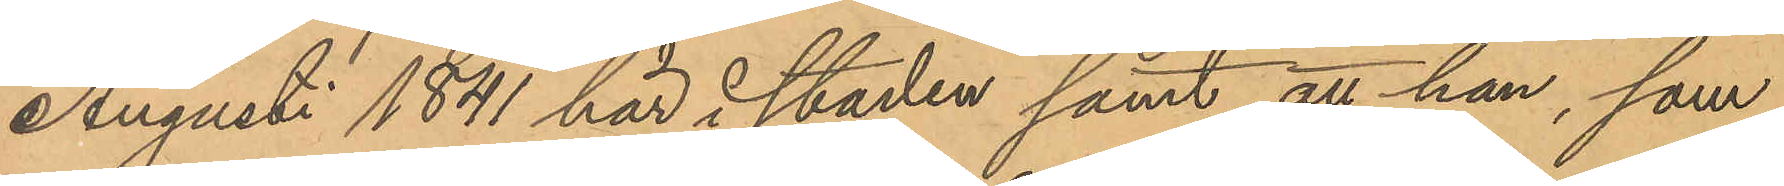Augusti 1841 här i staden samt att han, som
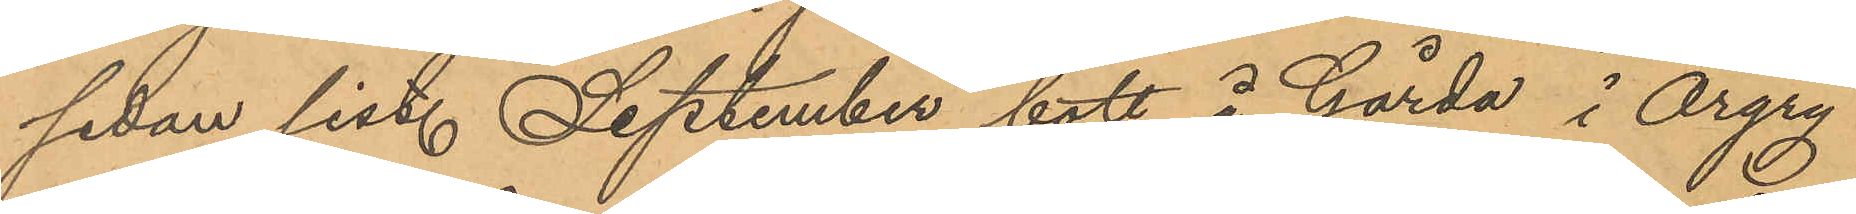sedan sist. September bott å Gårda i Örgry¬
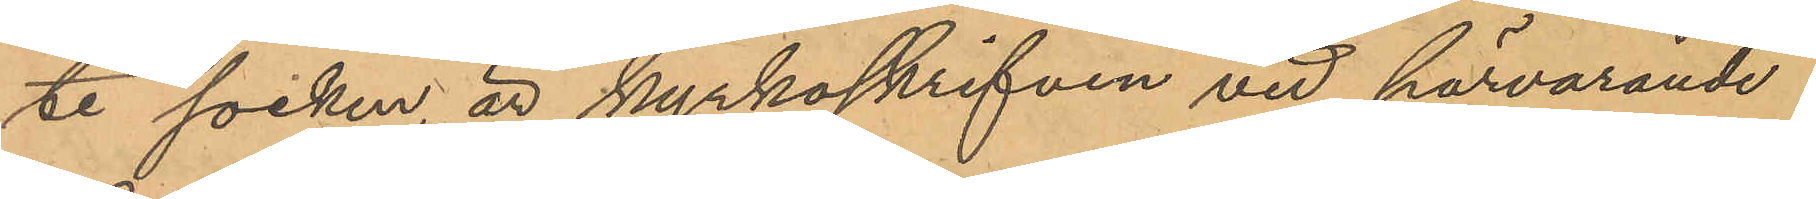te socken är kyrkoskrifven vid härvarande
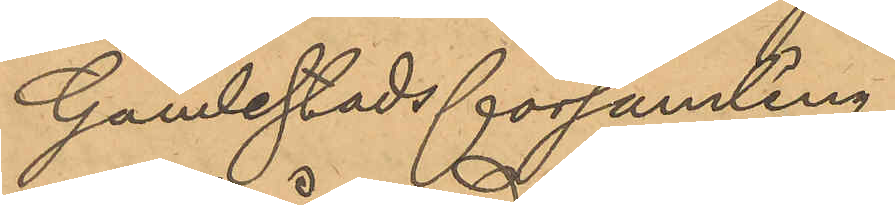Ganlestads församling.
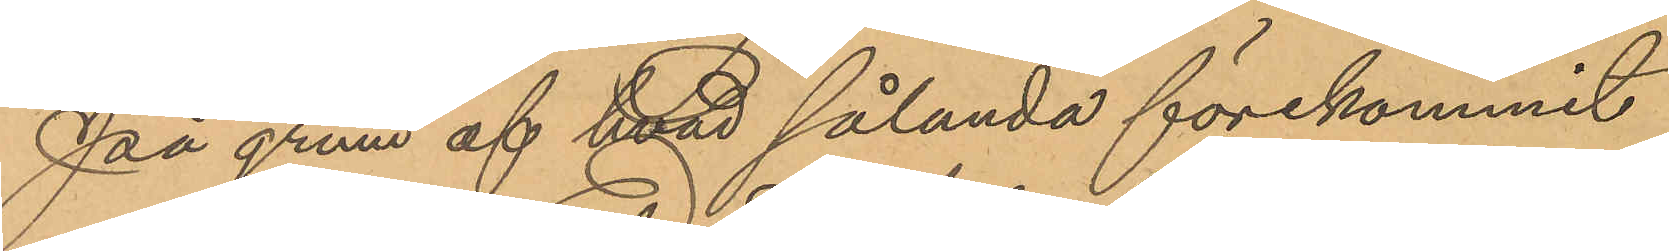På grund af hvad sålunda förekommit
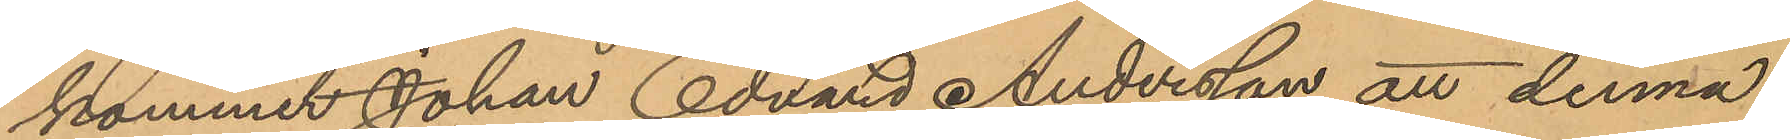kommer Johan Edvard Andersson att denna
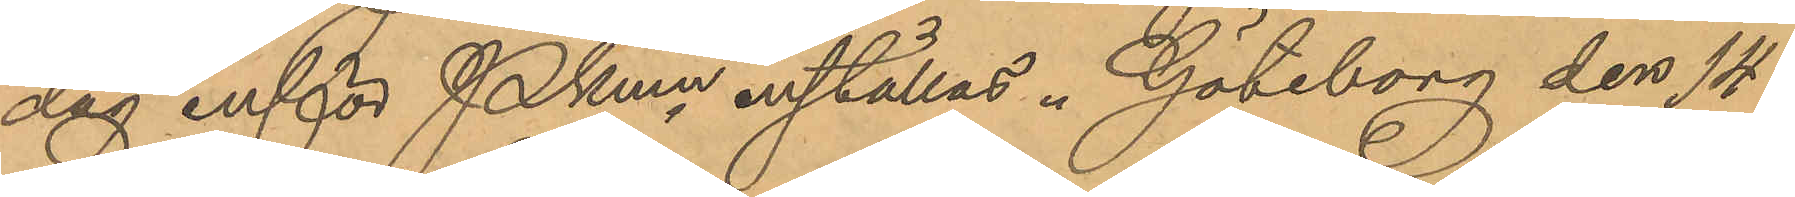dag inför Pkmn inställas. Göteborg den 14
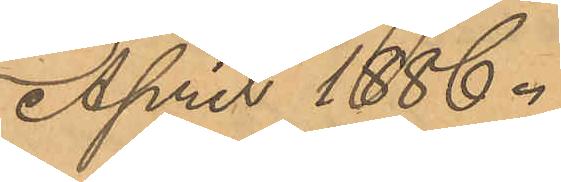April 1886.
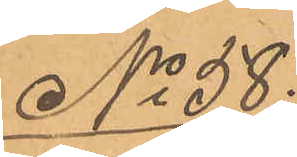No 58.
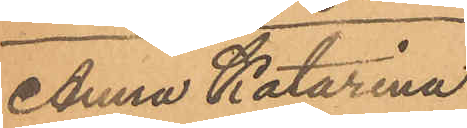Anna Katarina
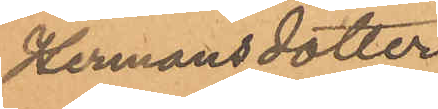Hermansdotter
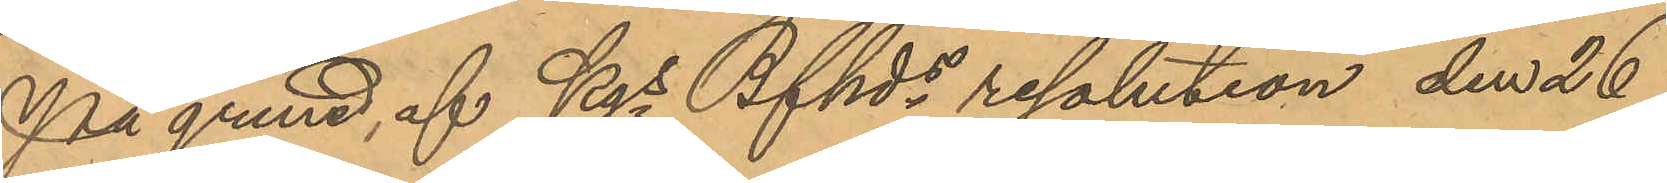På grund, af Kgs Bfhds resolution den 26
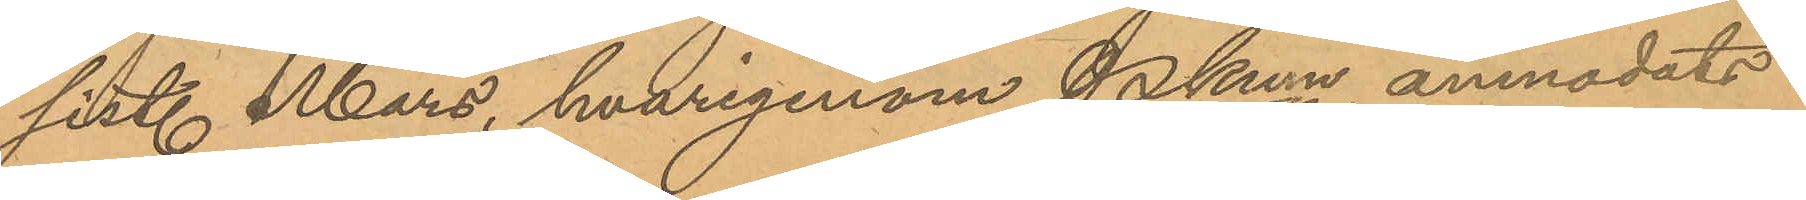sist. Mars, hvarigenom Pkmn anmodats
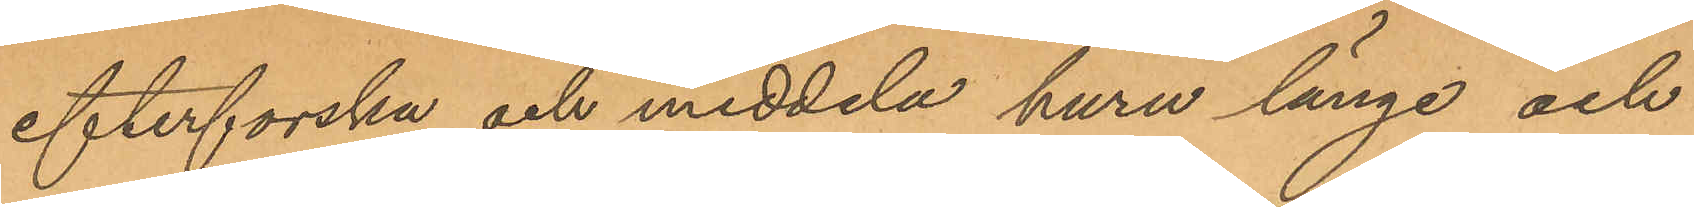efterforska och meddela huru länge och
